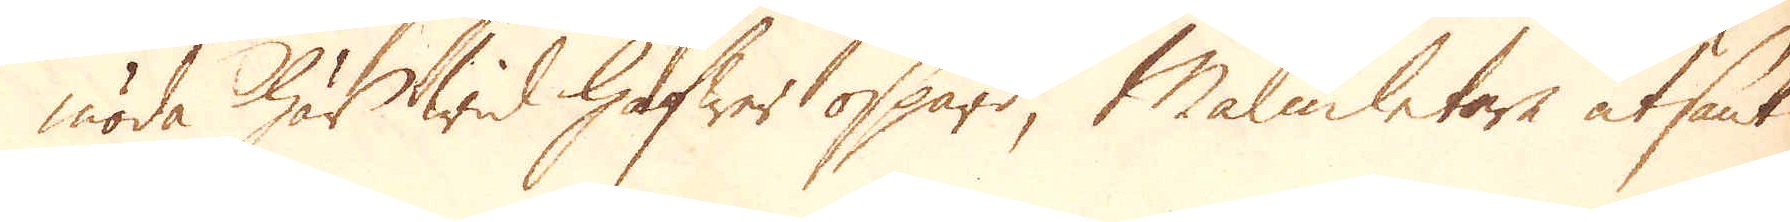möda här wid hafwer ospard, Malmletare utsänt
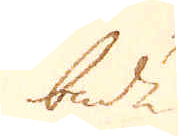både
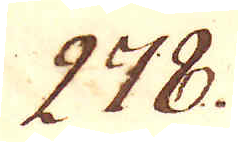278.
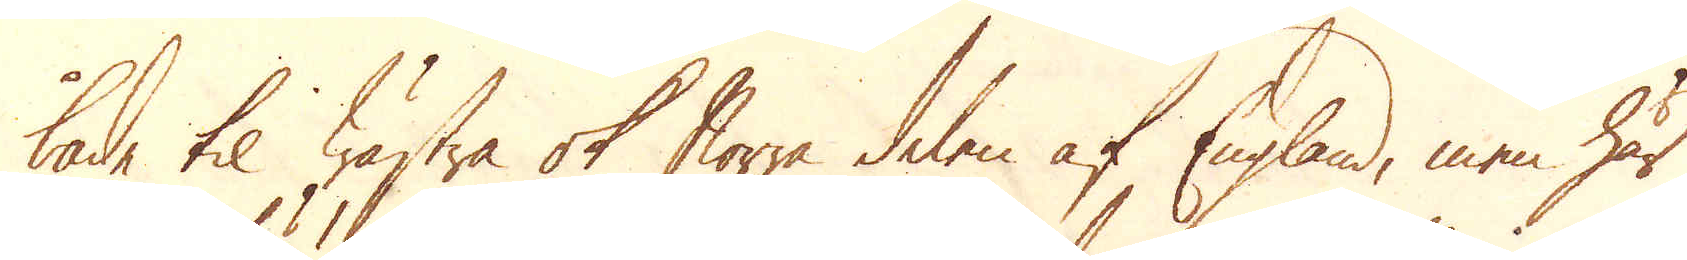både til wästra ok Norra delen af England, men här
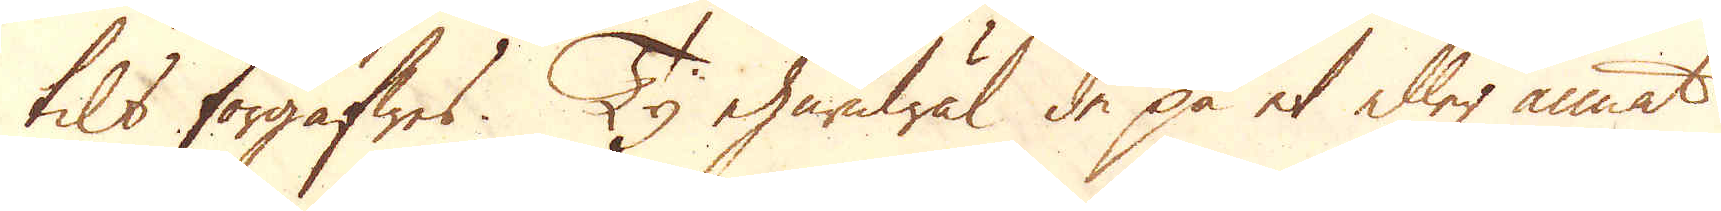tils förgäfwes. Ty ehuruwäl de på et eller annat
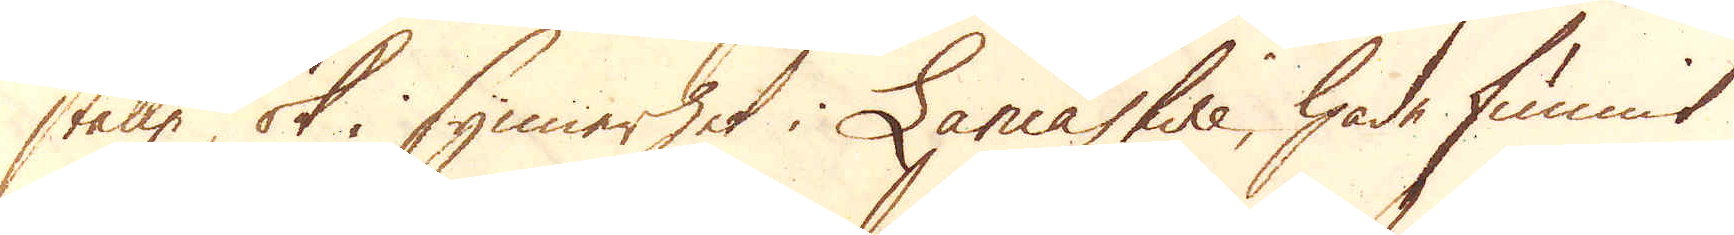ställe, ok i synnerhet i Lancashire, hade funnit
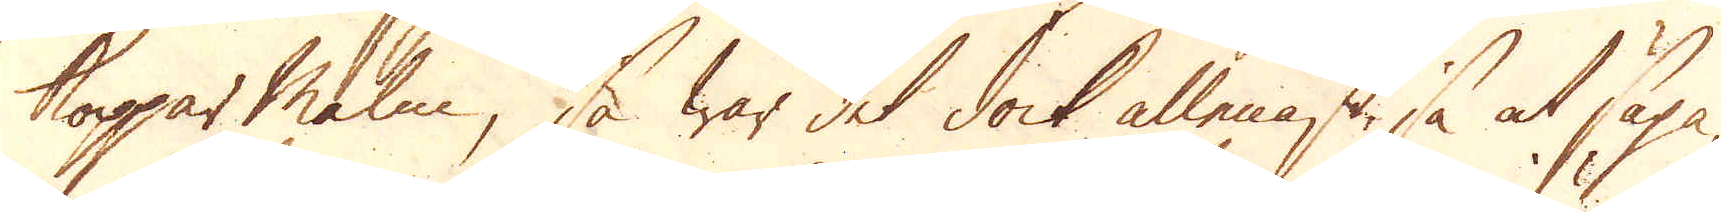Kopparmalm, så war det dock allenast så at säga,
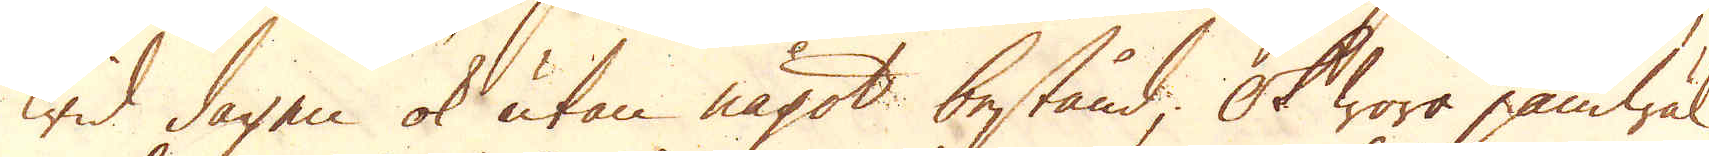wid dagen ok utan något bestånd; Ok woro jämwäl
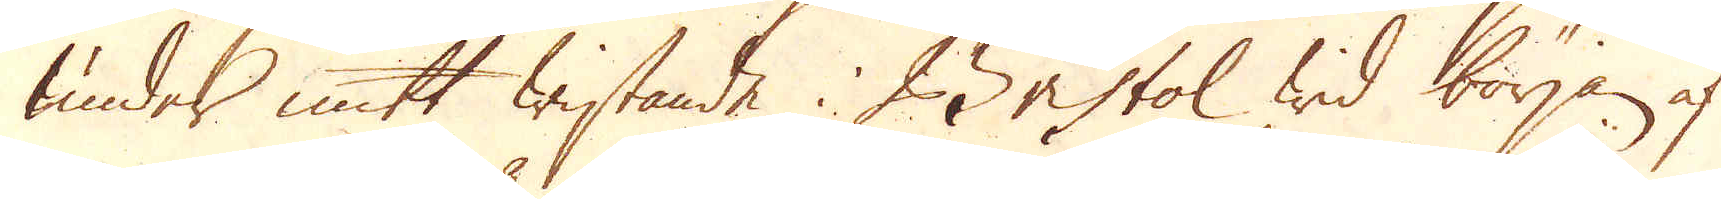under mitt wistande i Bristol wid början af
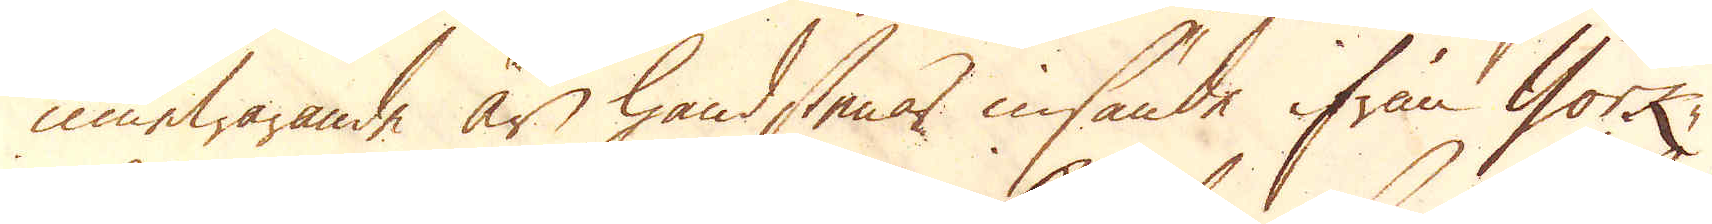innewarande år handstenar insände ifrån York-
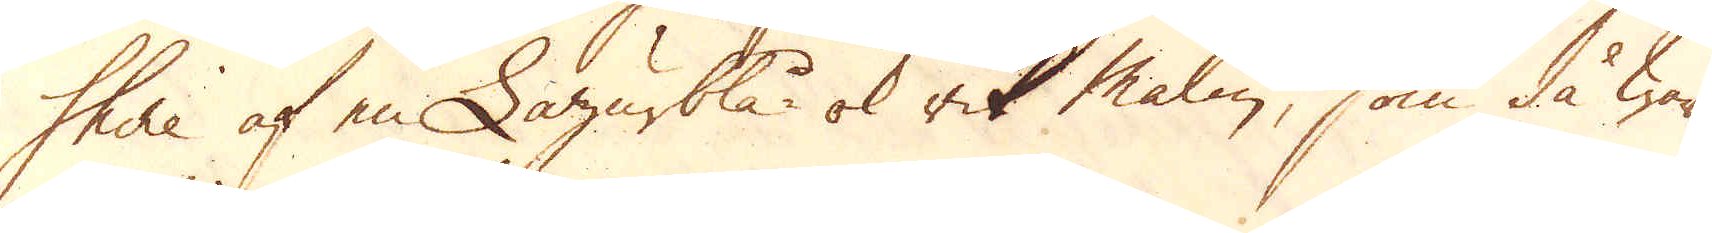shire af en Lazurblå- ok rik malm, som då war
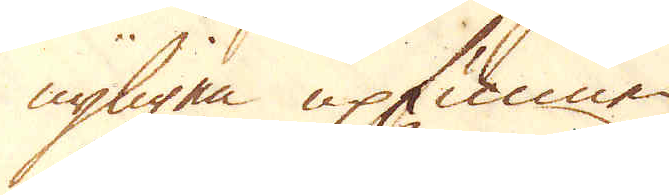nyligen upfunnen
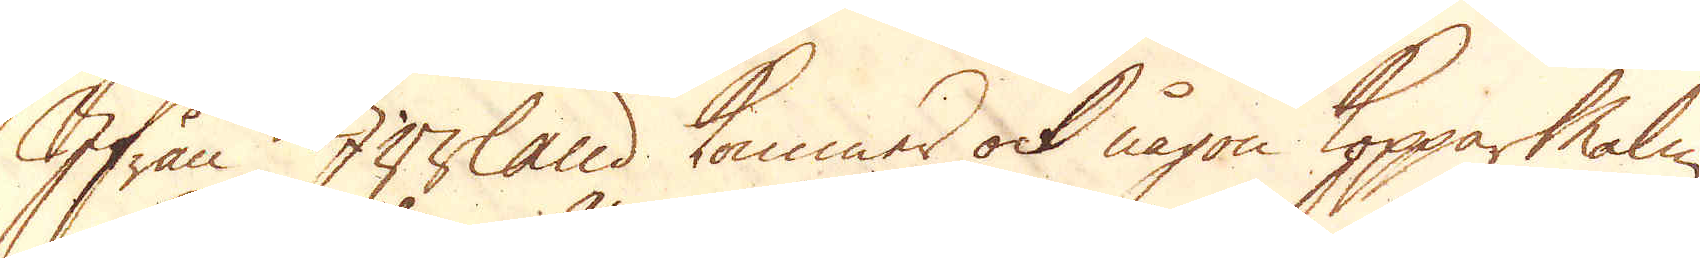Ifrån Irrland kommer ock någon Kopparmalm,
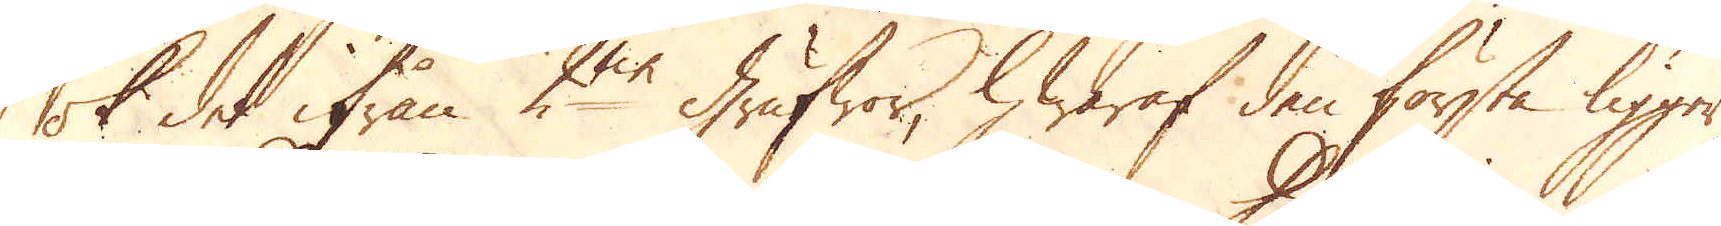ok det ifrån 2ne grufwor, hwaraf den första ligger
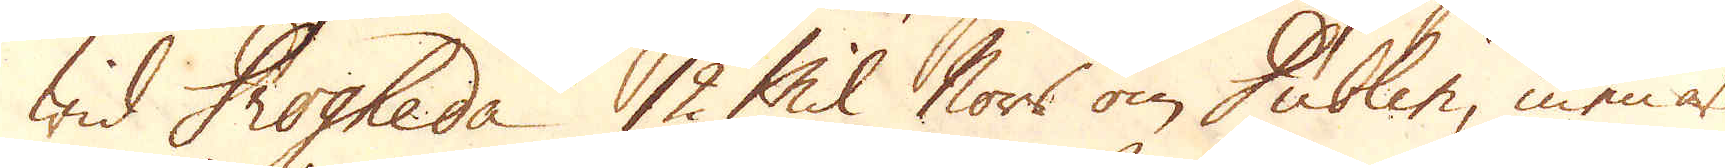Wid Drogheda 12 Mil Norr om Dublin, men är
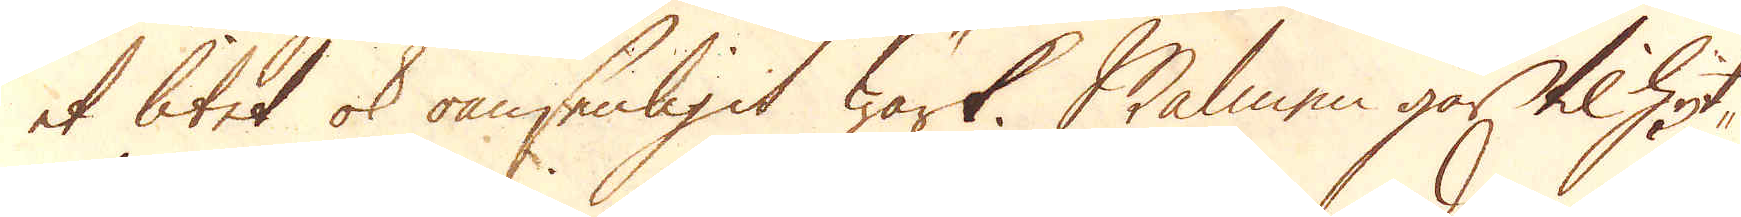et litet ok oansenligit wärk. Malmen går til hyt-
